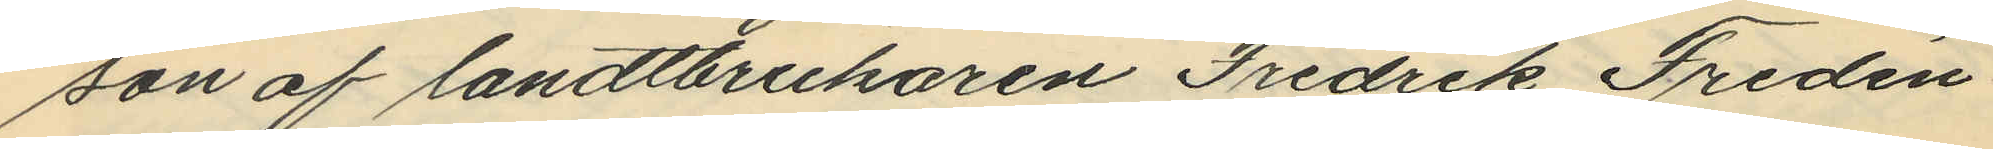son af landtbrukaren Fredrik Fredén
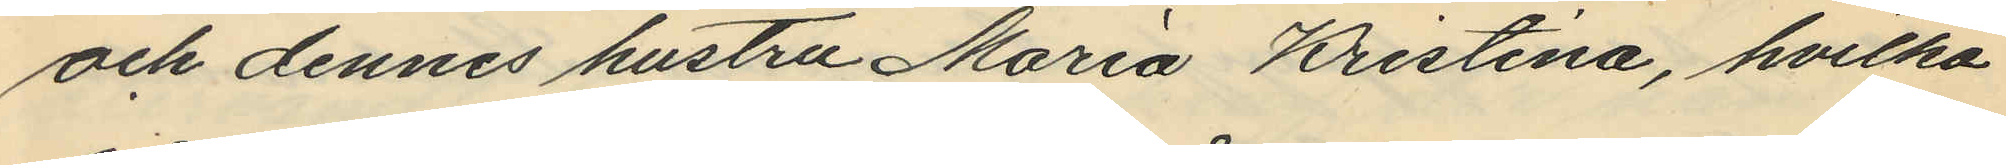och dennes hustru Maria Kristina, hvilka
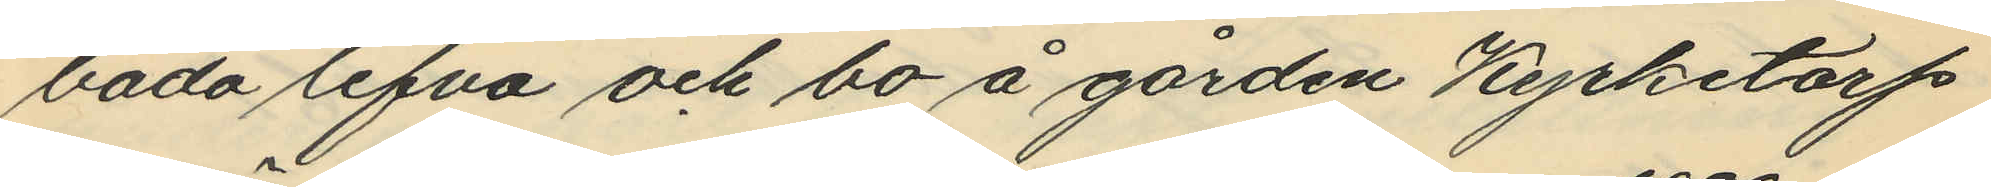båda lefva och bo å gården Kyrketorp
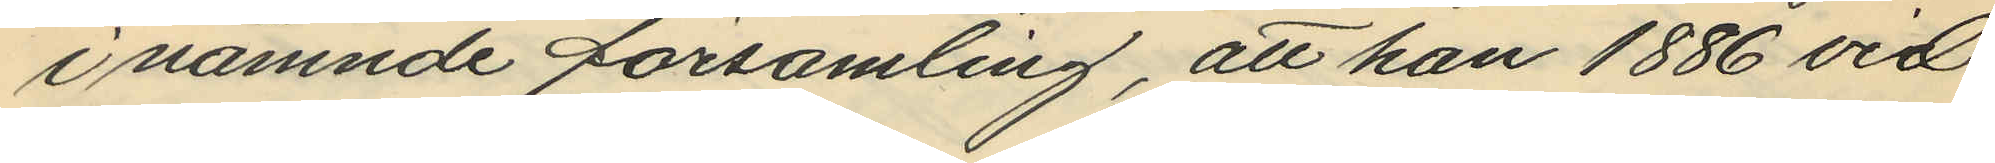i nämnde församling, att han 1886 vid
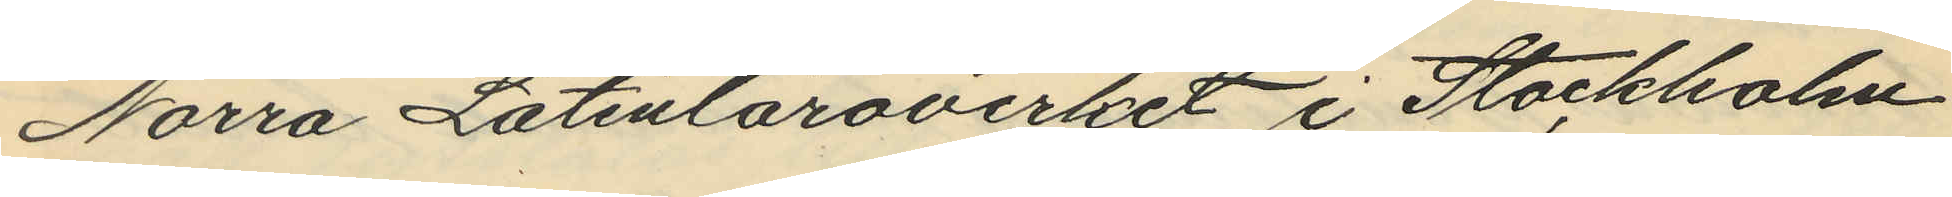Norra Latinläroverket i Stockholm
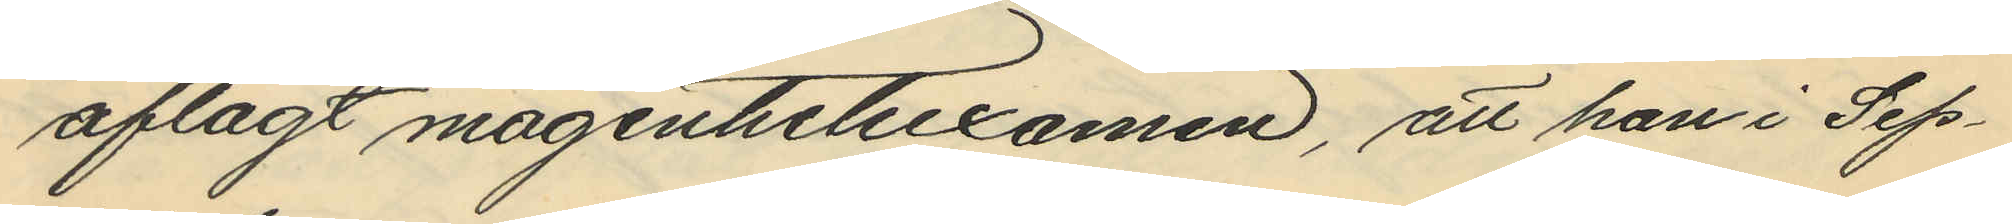aflagt magisterexamen, att han i Sep¬
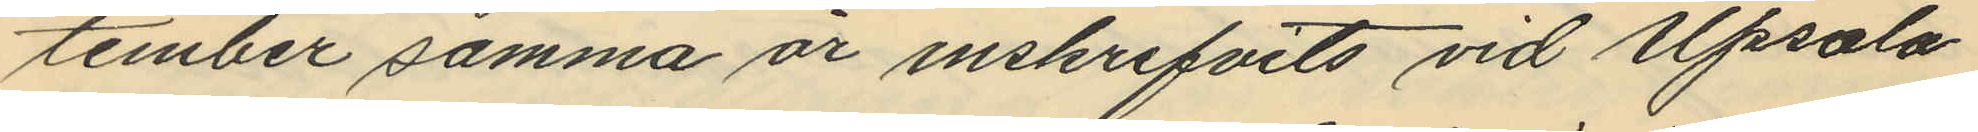tember samma år inskrifvits vid Upsala
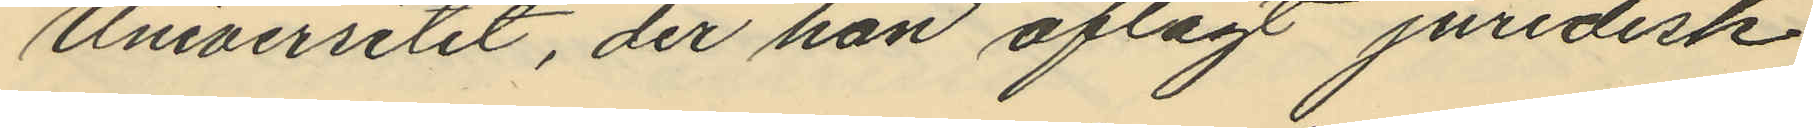Universitet, der han aflagt juridisk
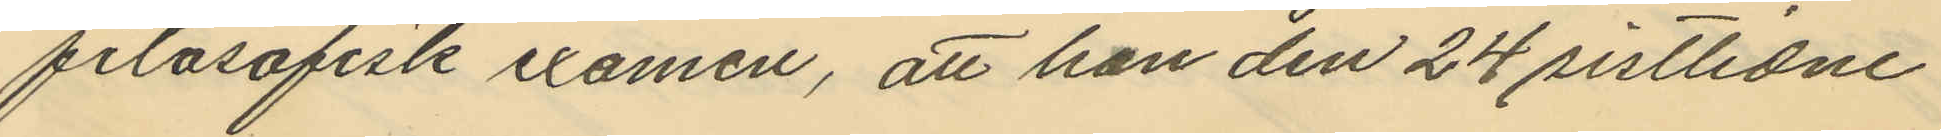filosofisk examen, att han den 24 sistlidne
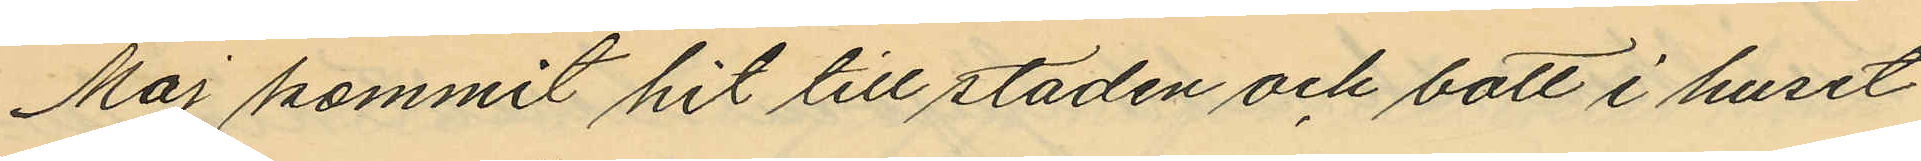Maj kommit hit till staden och bott i huset
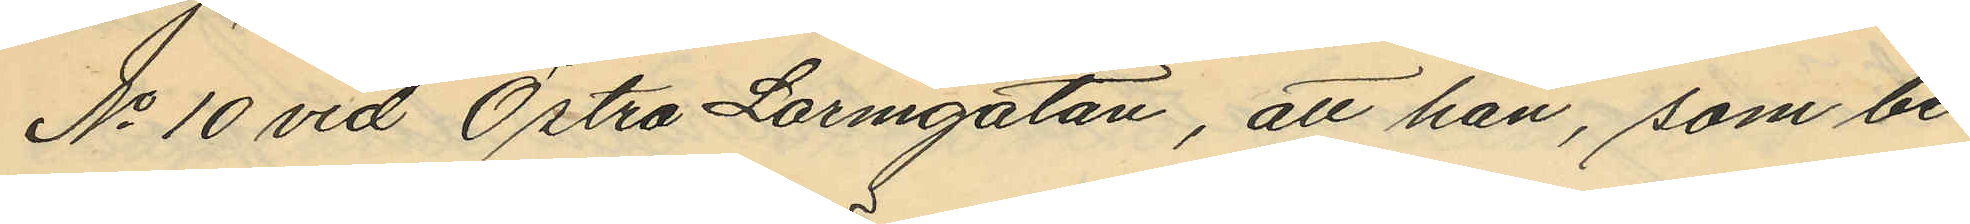No 10 vid Östra Larmgatan, att han, som be¬
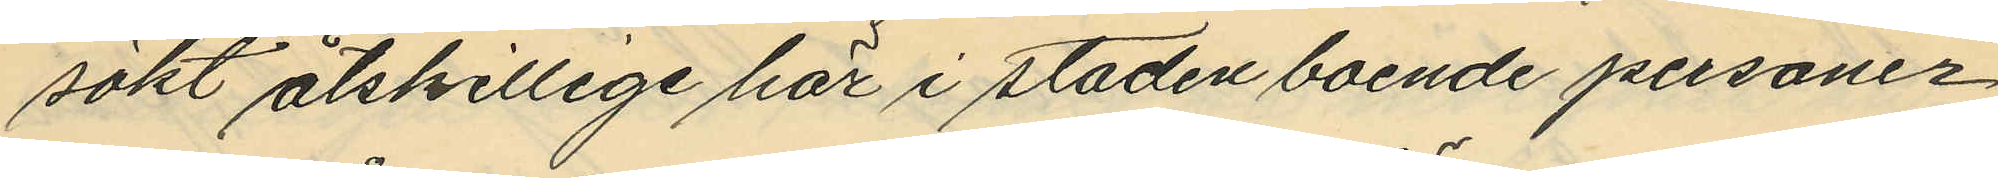sökt åtskillige här i staden boende personer
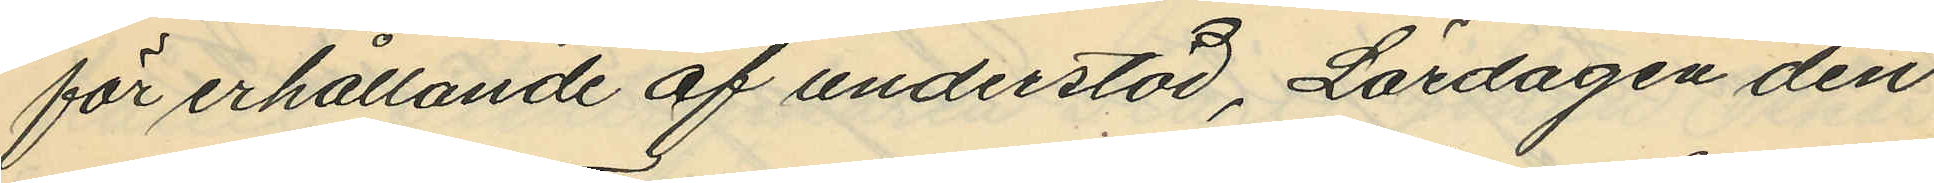för erhållande af understöd, Lördagen den
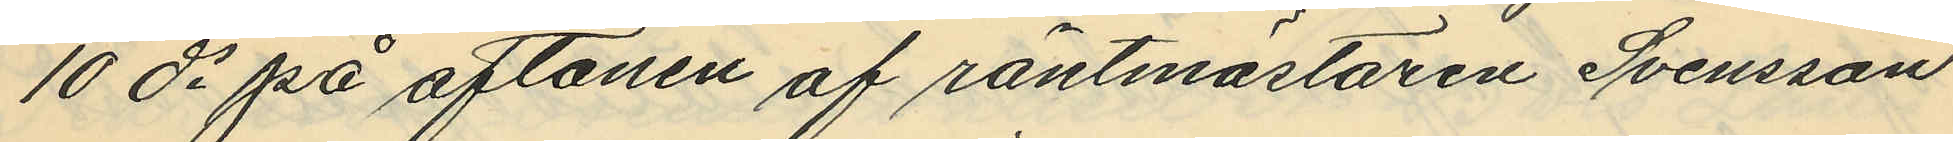10 ds på aftonen af räntmästaren Svensson
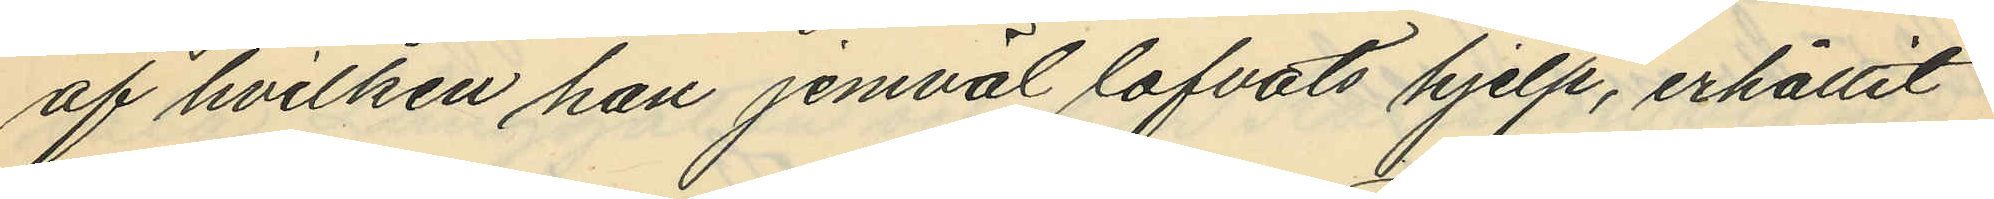af hvilken han jemväl lofvats hjelp, erhållit
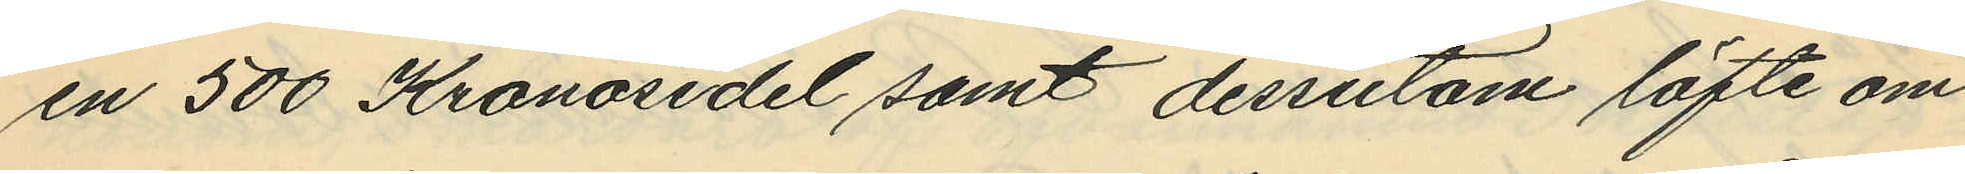en 500 Kronosedel samt dessutom löfte om
